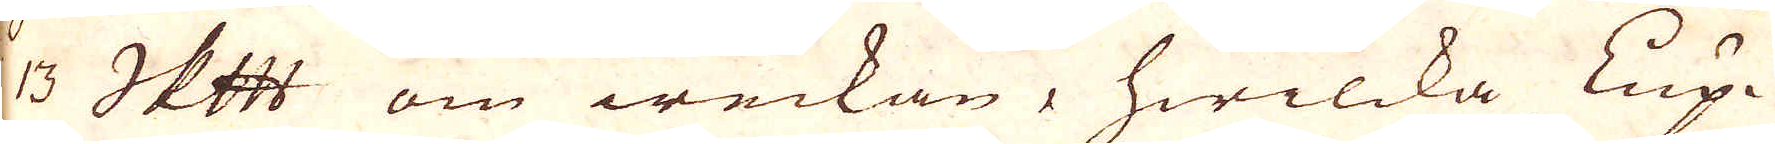3 Skeppund om weckan, hwilcka Lup-
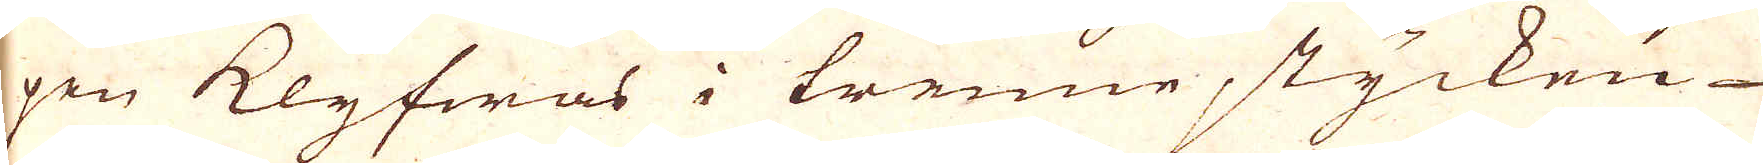pen Klyfwas i trenne stycken
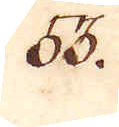88.
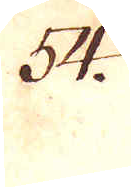54.
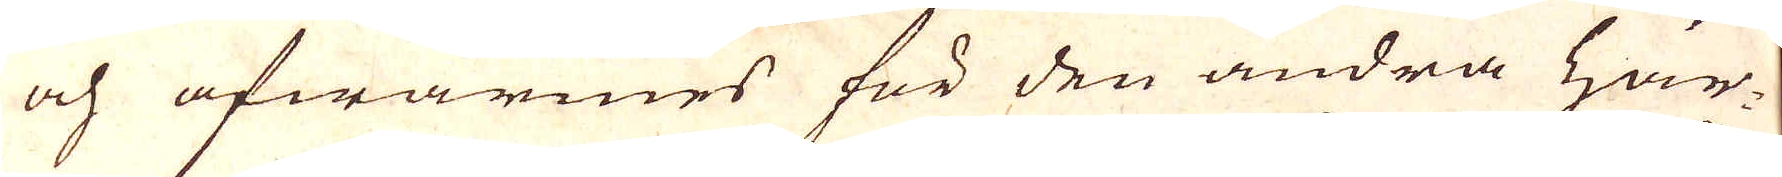och afwärmes för den andra här-
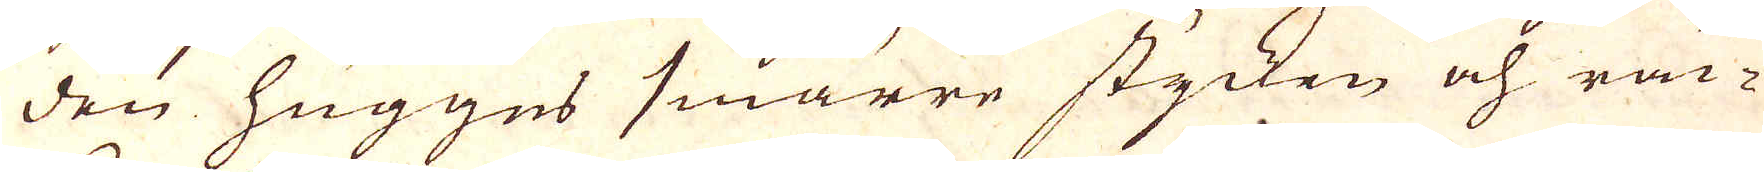den hugges smärre stycken och räc-
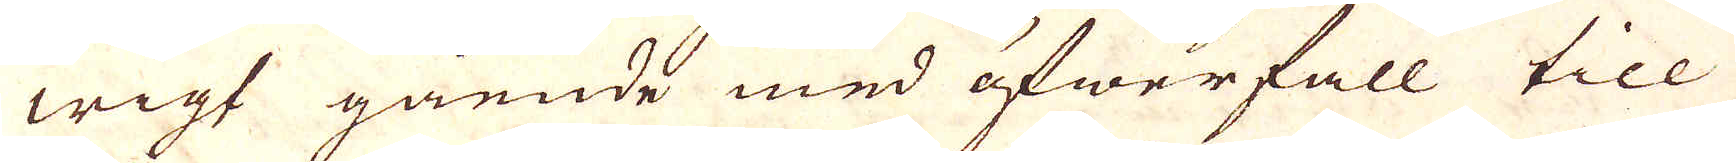wigt gående med öfwerfall till
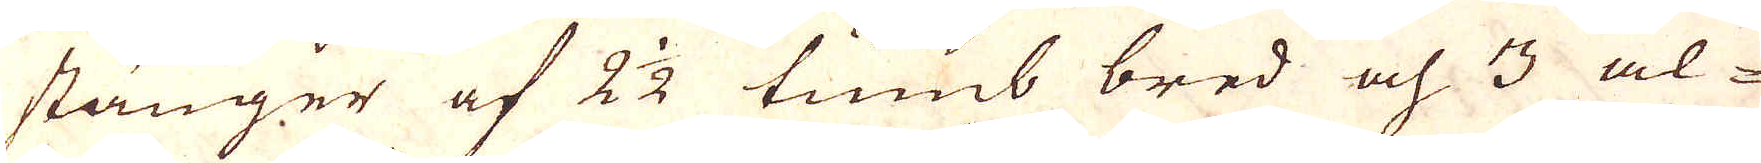stänger af 2 1/2 tumb bred och 3 al-
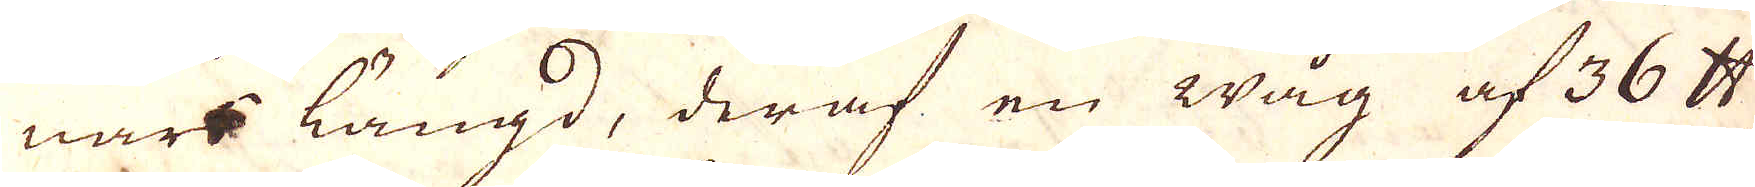nars längd, deraf en wåg af 36 skålpund
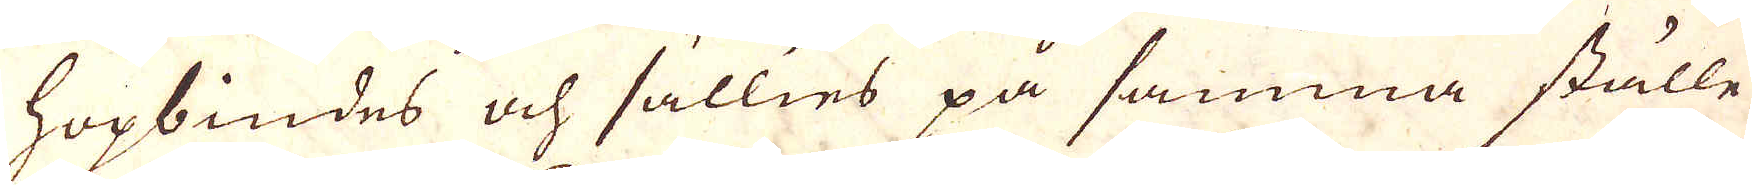hopbindes och sällies på samma ställe
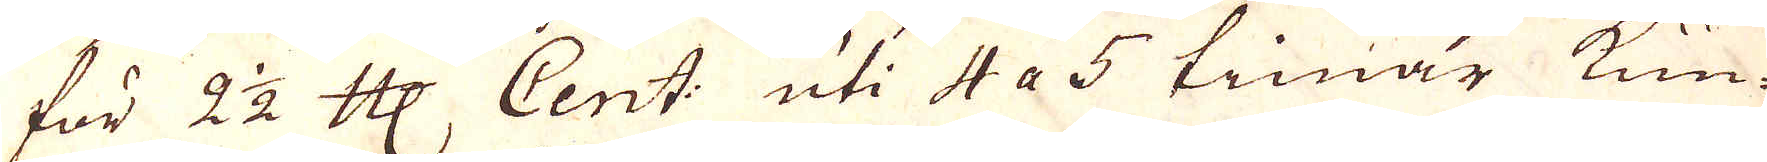för 2 1/2 Cologne Mark Cent: uti 4 a 5 timar kun-
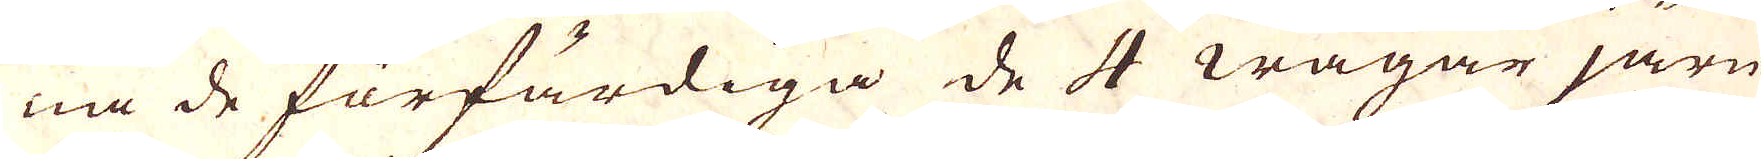na de förfärdiga de 4 wågar järn
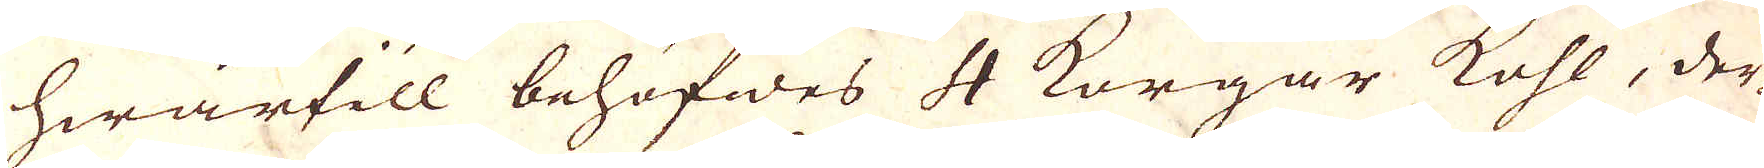hwartill behöfwes 4 Korgar kohl, der-
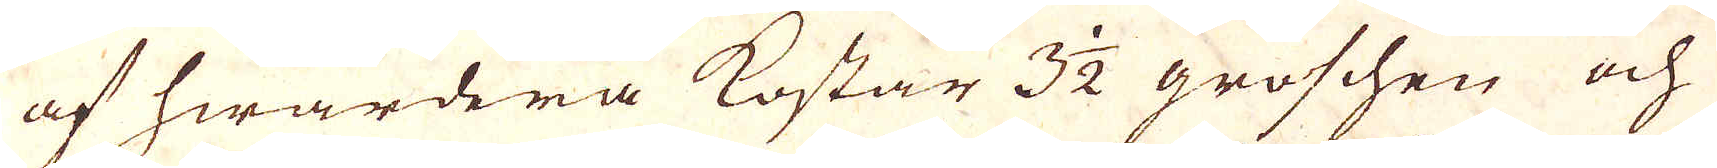af hwardera kostar 3 1/2 groschen och
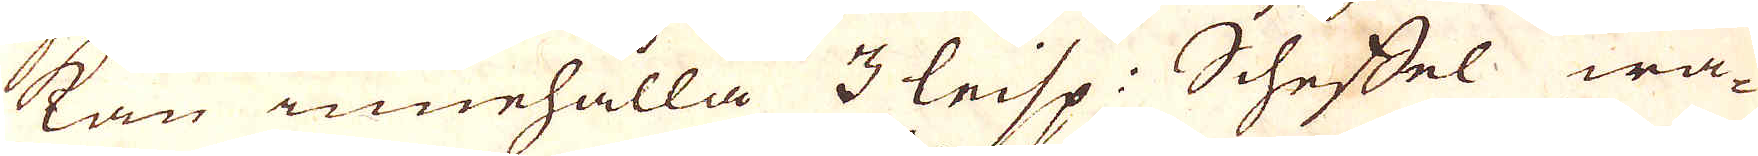kan innehålla 3 leisp: Scheffel wa-
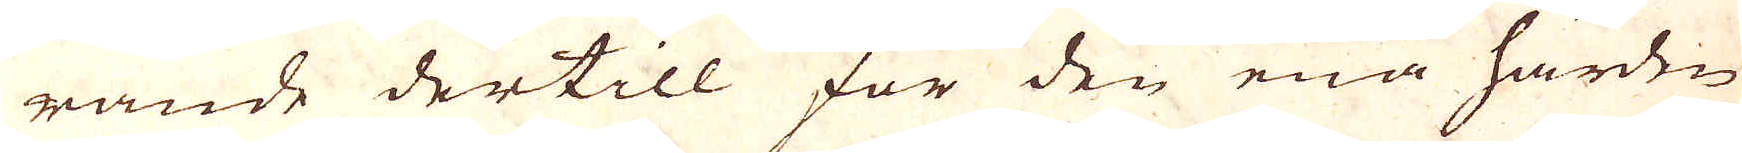rande dertill för den ena härden
